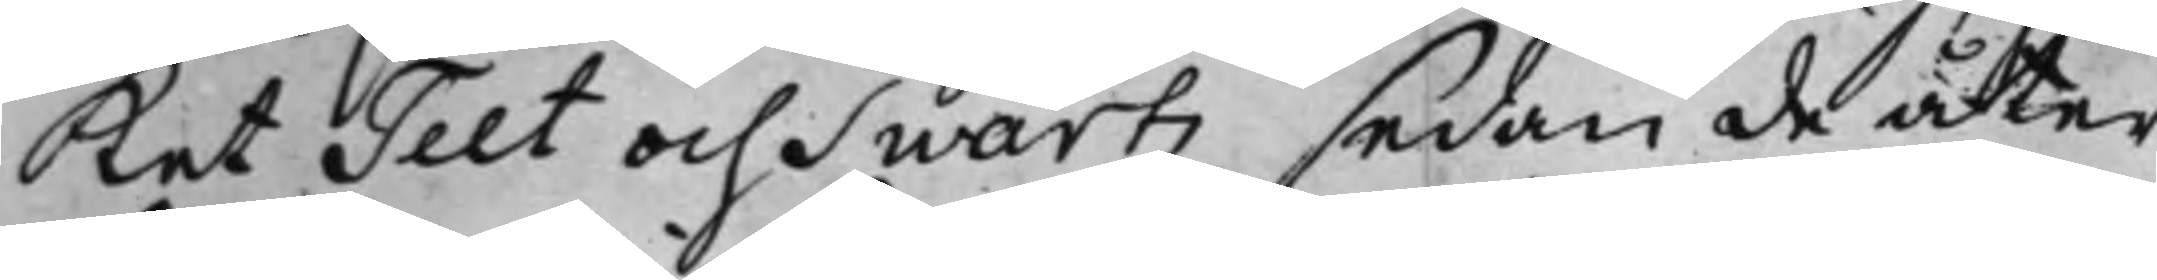ket Teet och Swartz sedan de åter
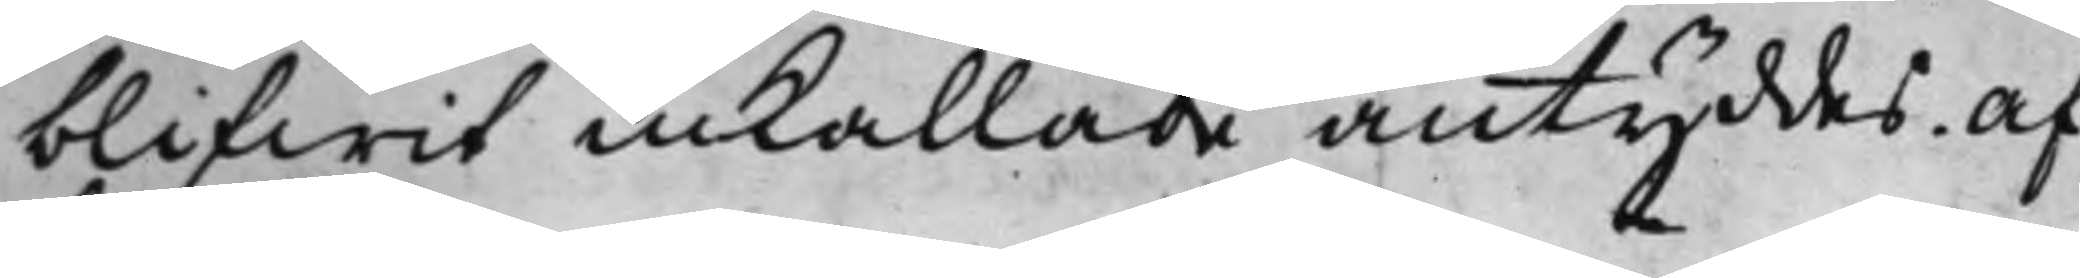blifwit inkallade antyddes. Af¬
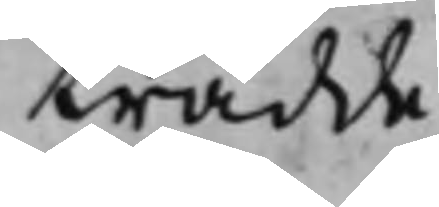trädde.
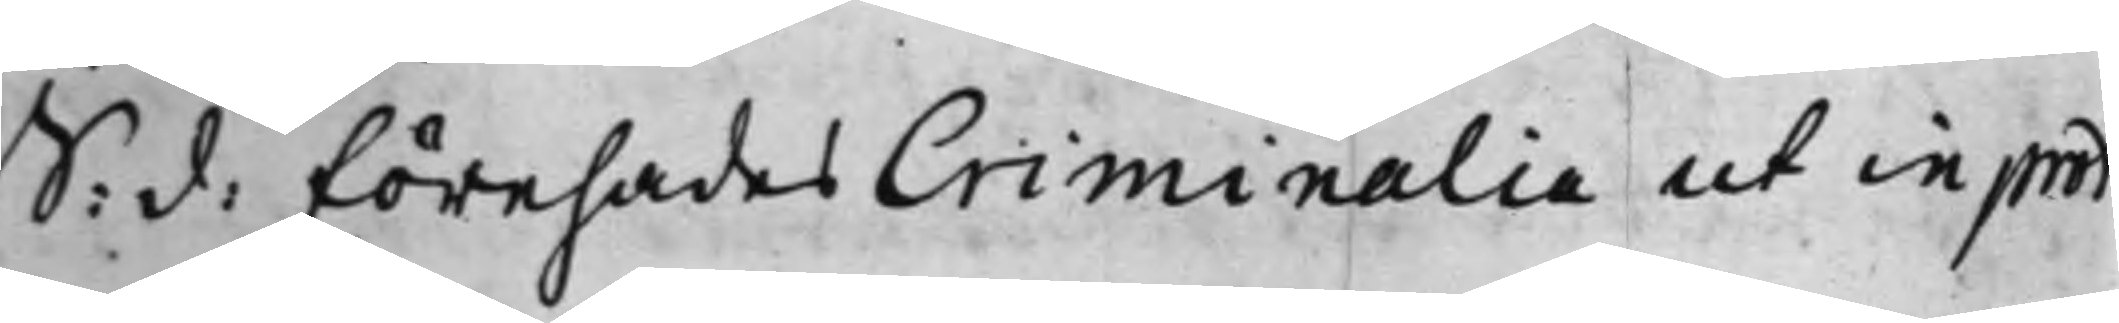S: d: Förehades Criminalia ut in prot.
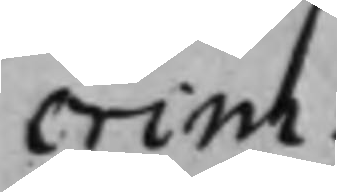crim:
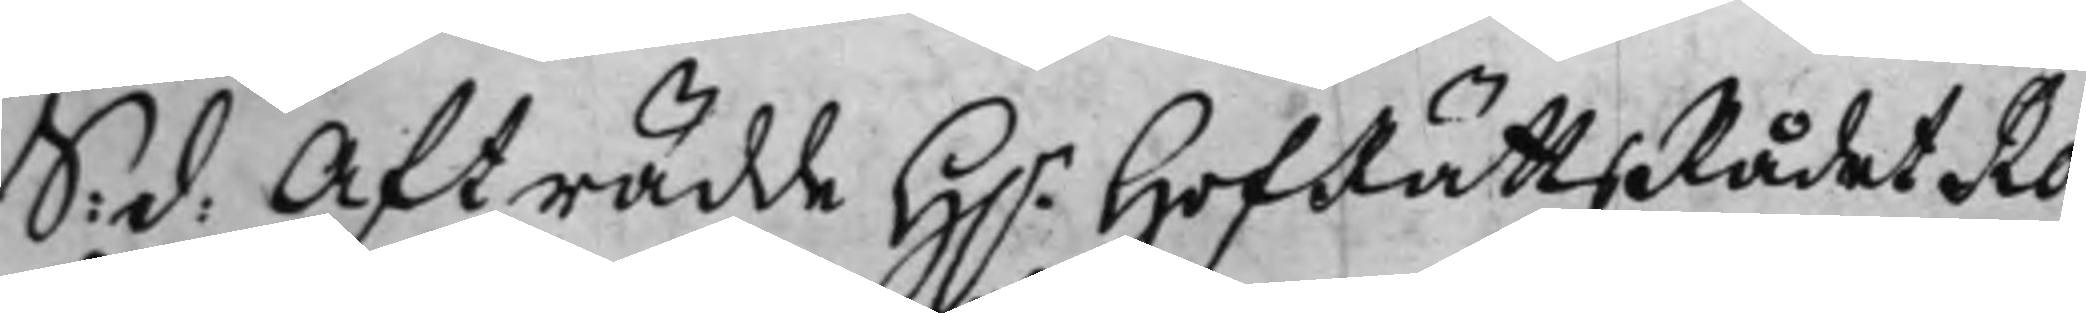S: d: Afträdde H.r HofRättsRådet Ro¬
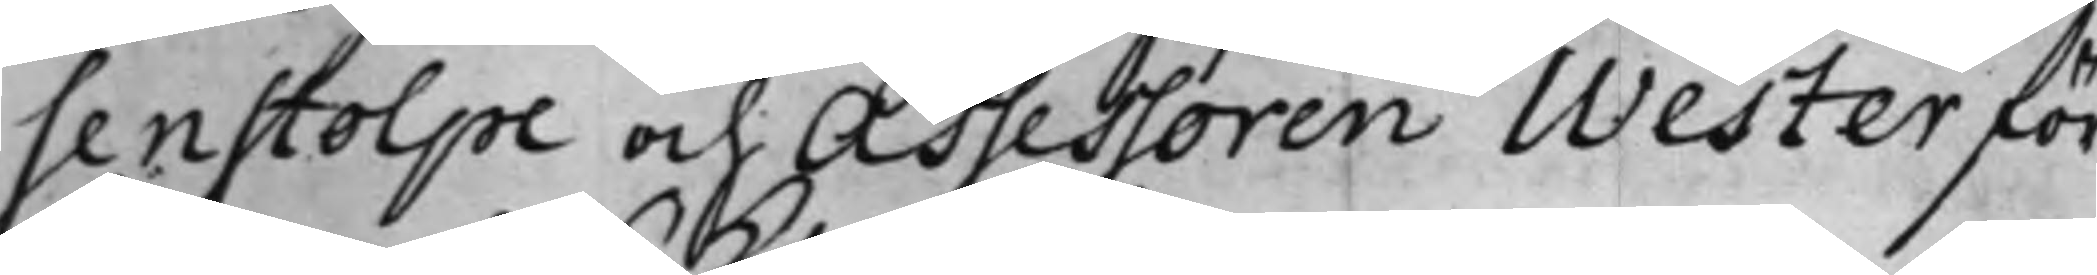senstolpe och Assessoren Wester för
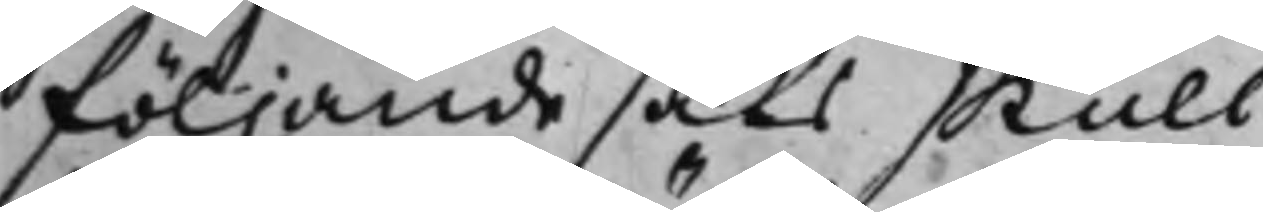följande saks skull.
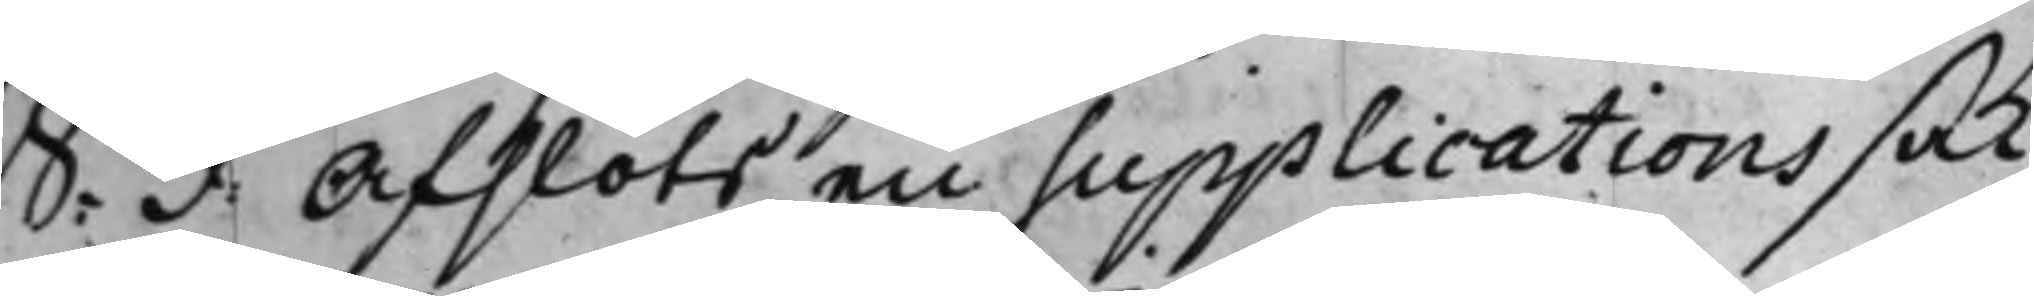S: d. Afslöts en supplications sak,
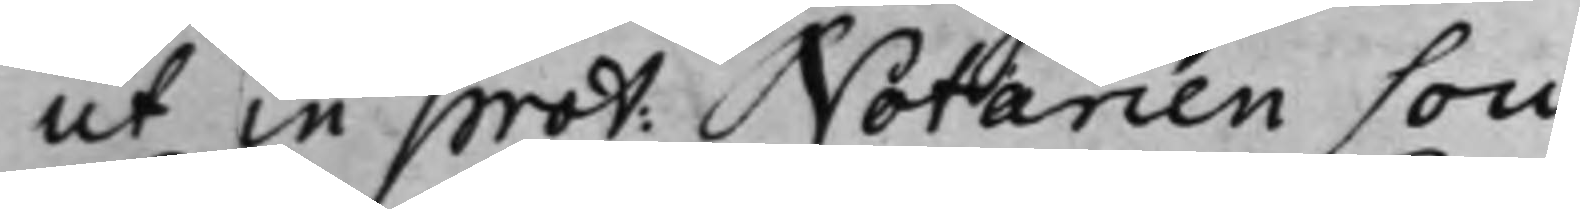ut in prot: Notarien Low.
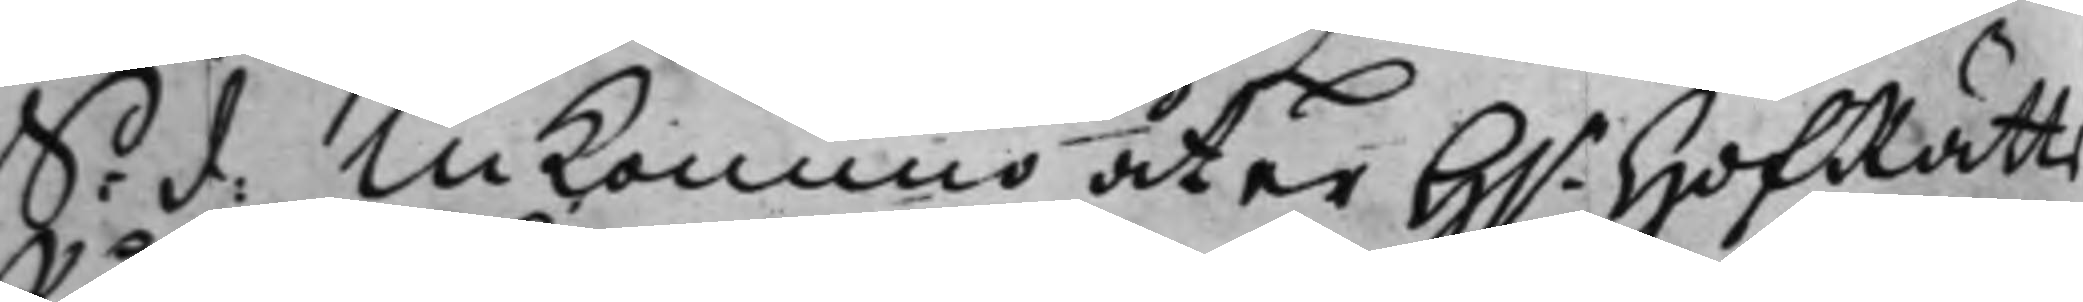S: d: Inkommo åter H.r HofRätts¬
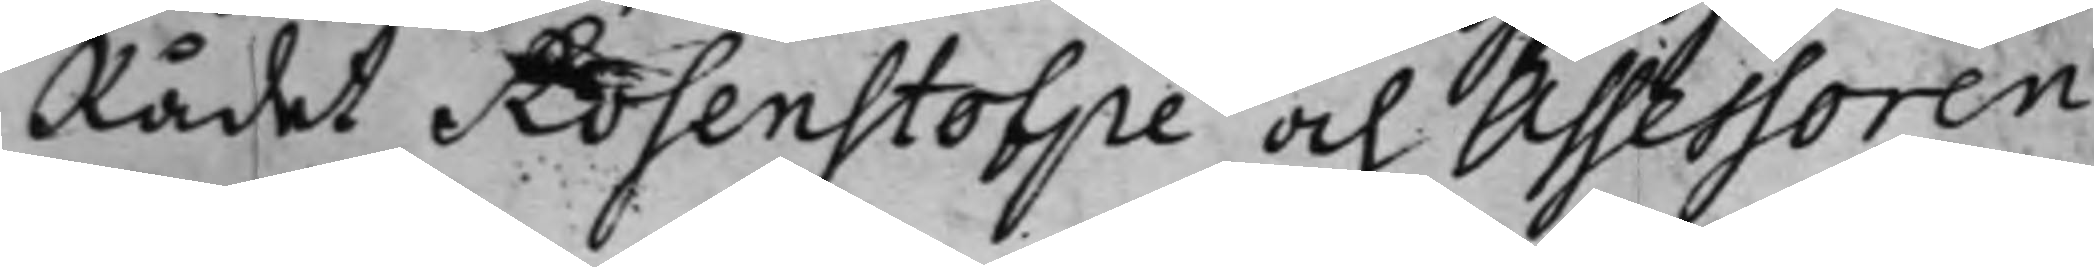Rådet Rosenstolpe och Assessoren
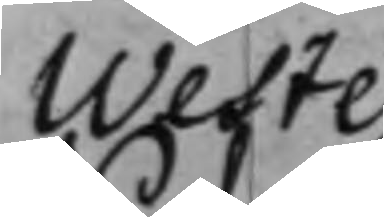Wester.
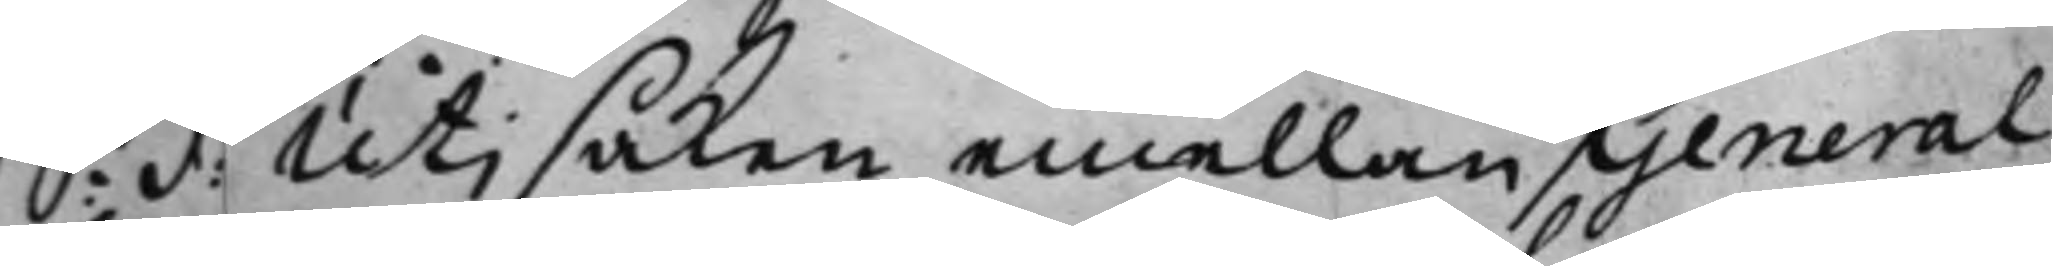S: d: Uti saken emellan General¬
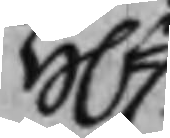H.r
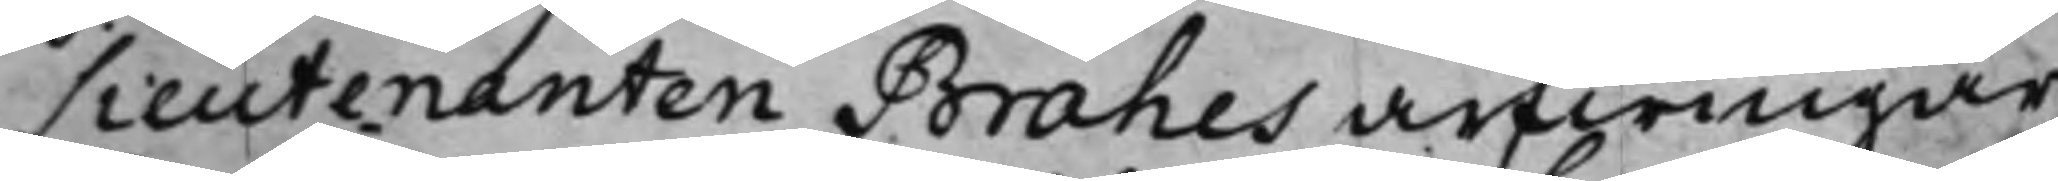Lieutenanten Brahes arfwingar
